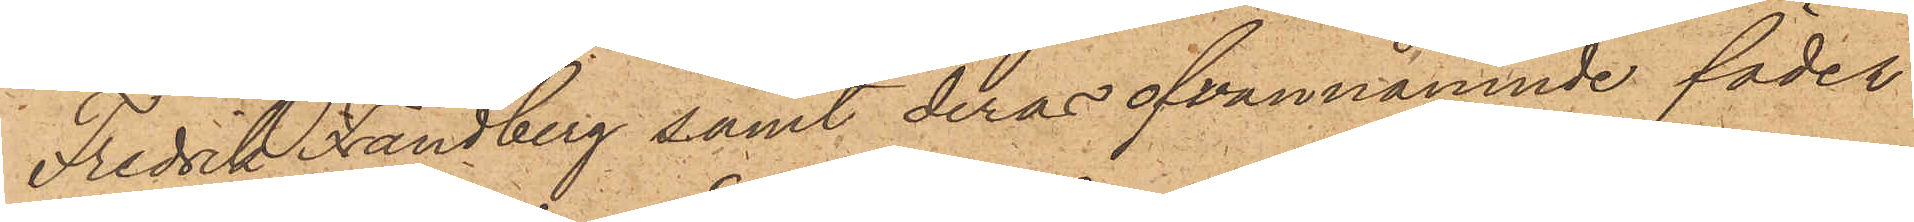Fredrik Frändberg samt deras ofvannämnde fäder
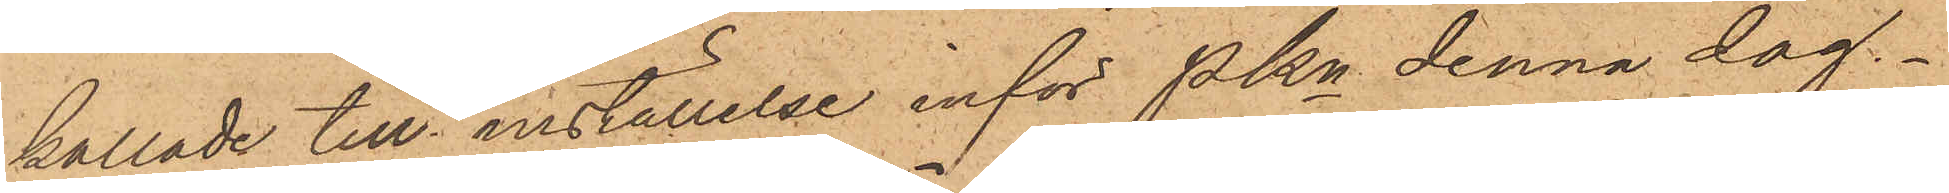kallade till inställelse inför Pkn denna dag.
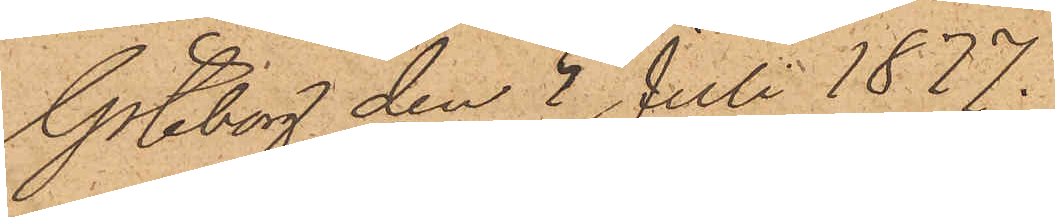Göteborg den 5 Juli 1877.
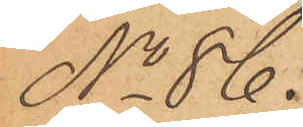No 86.
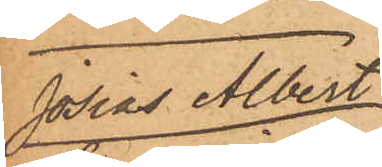Josias Albert
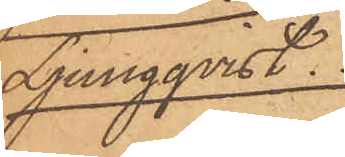Ljungqvist
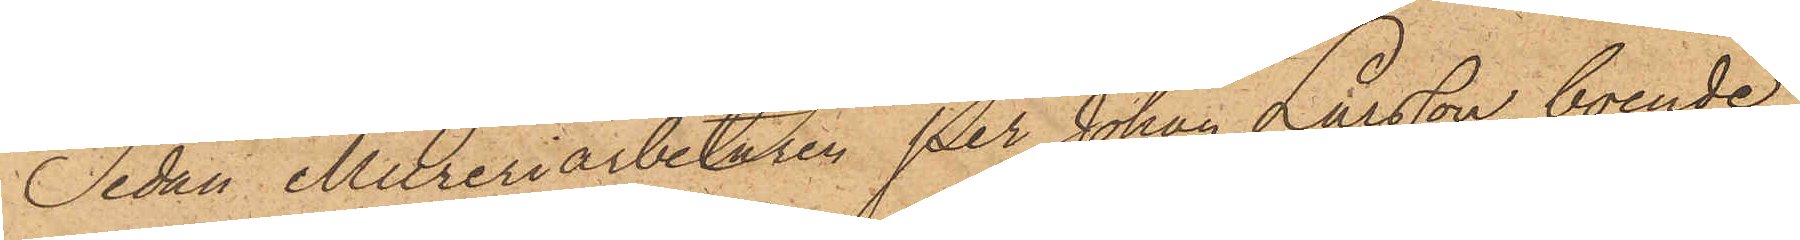Sedan Mureriarbetaren Per Johan Larsson, boende
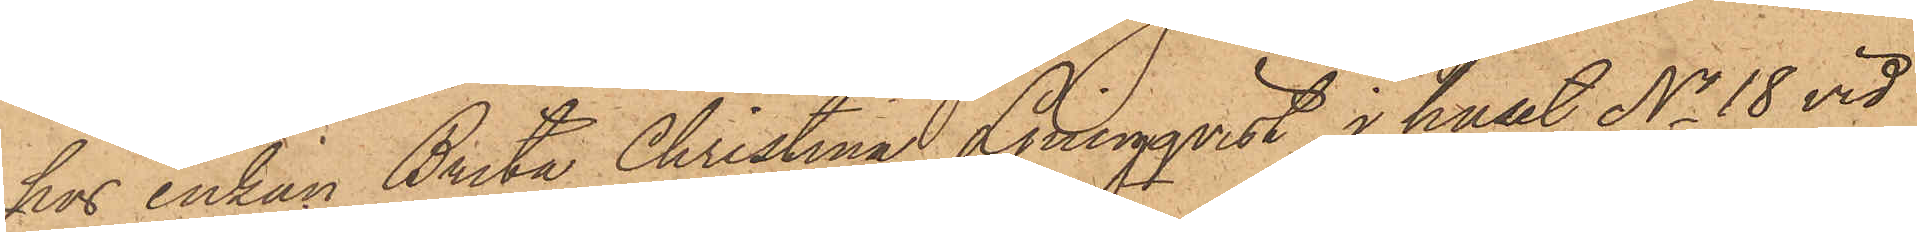hos Enkan Brita Christina Ljungqvist i huset No 18 vid
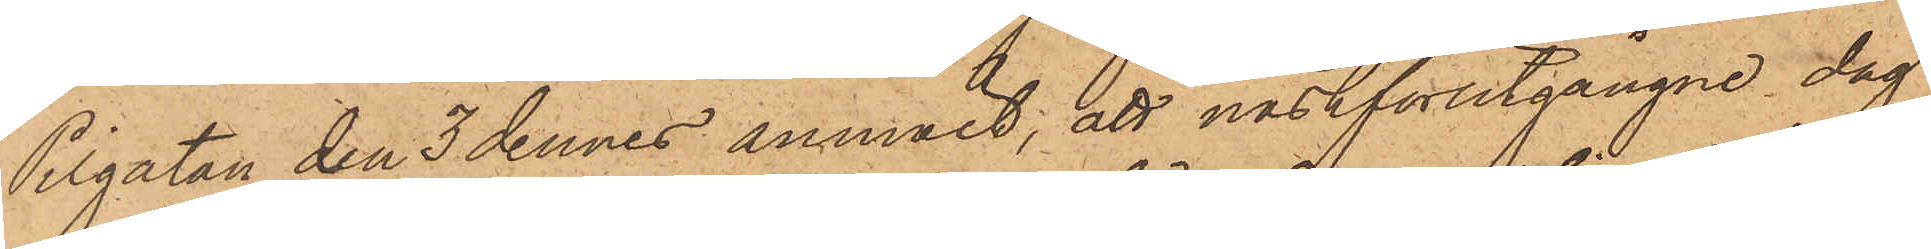Pilgatan den 3 dennes anmält, att nästförutgångne dag
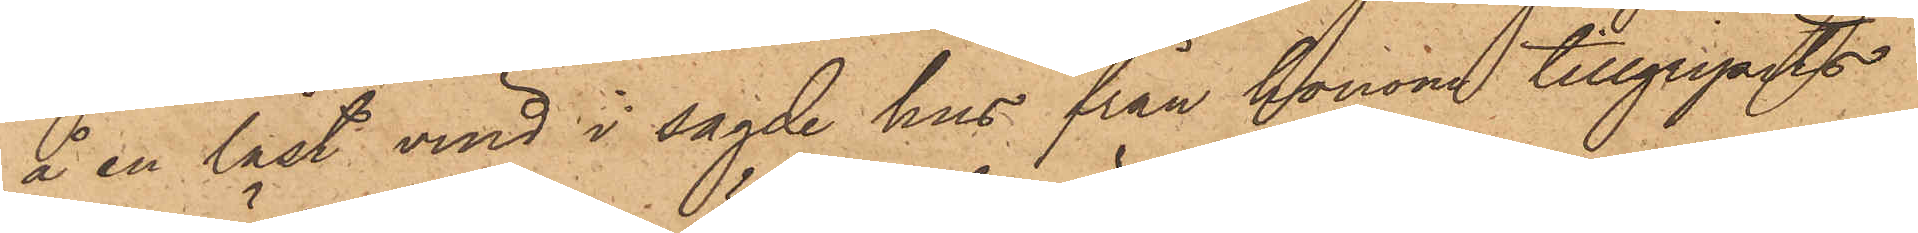å en låst vind i sagde hus från honom tillgripits
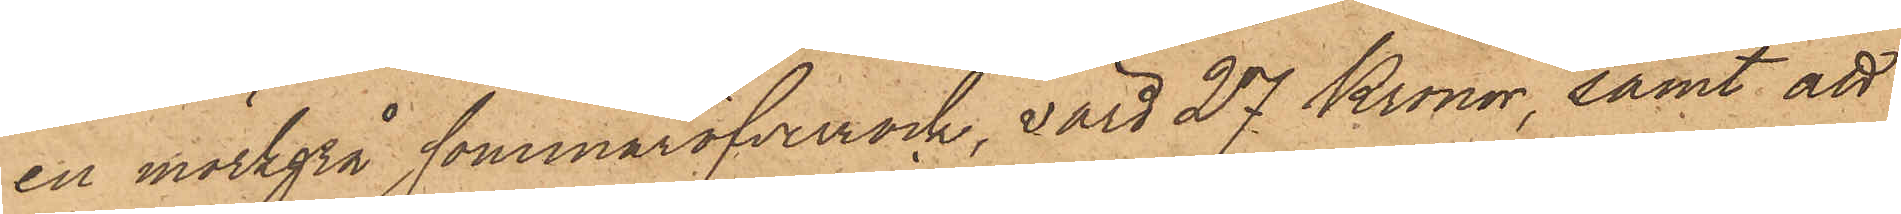en mörkgrå sommaröfverrock, värd 27 Kronor, samt att
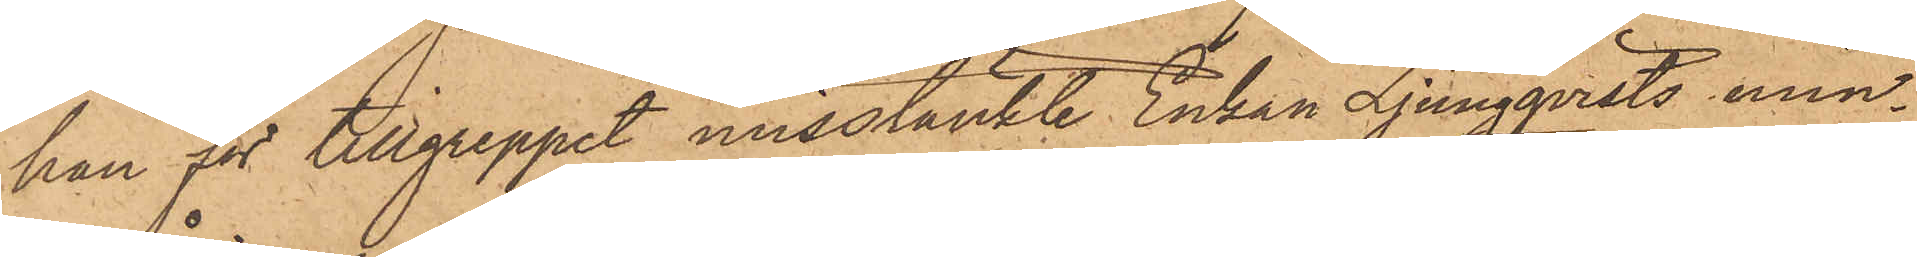han för tillgreppet misstänkte Enkan Ljungqvists min¬
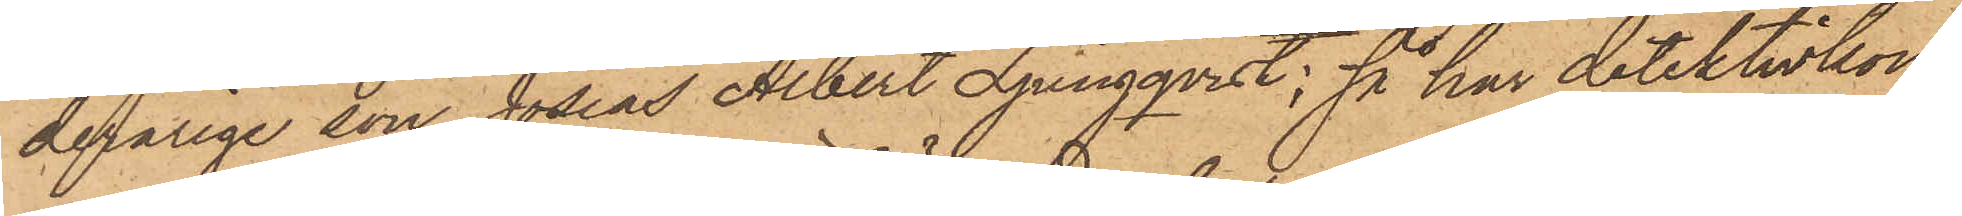derårige son Josias Albert Ljungqvist; så har detektivkon¬
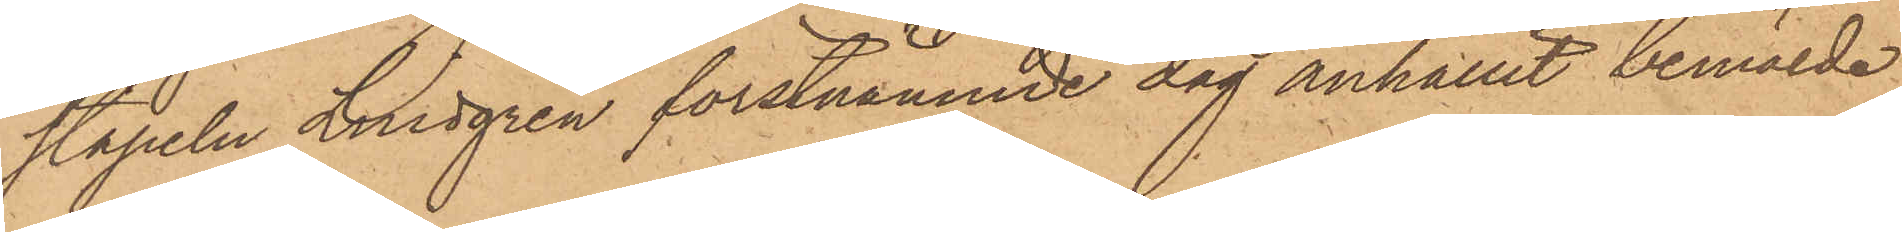stapeln Lindgren förstnämnde dag anhållit bemälde
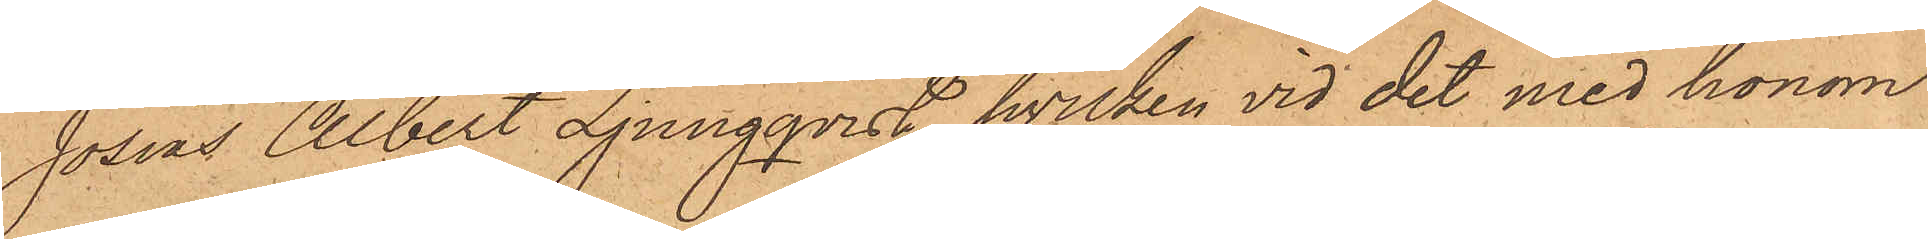Josias Albert Ljungqvist, hvilken vid det med honom
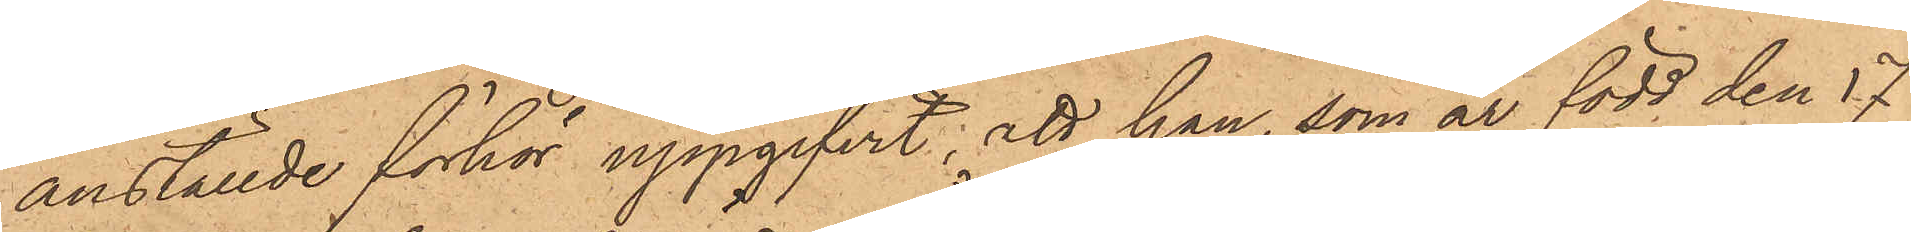anställde förhör uppgifvit, att han, som är född den 17
